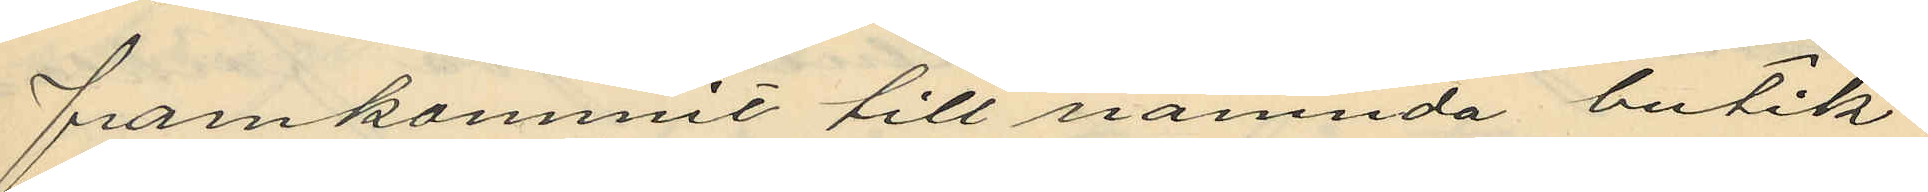framkommit till nämnda butik
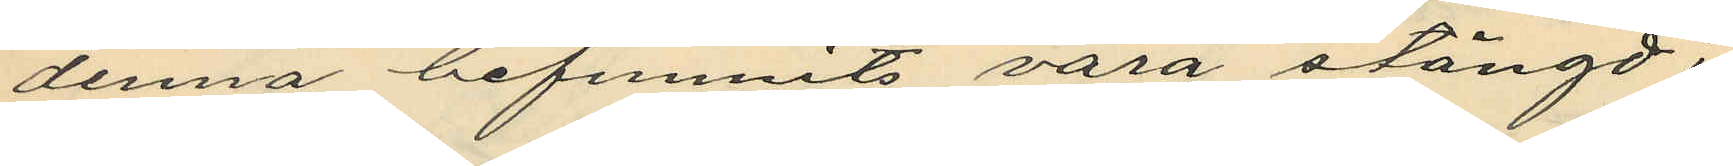denna befunnits vara stängd;
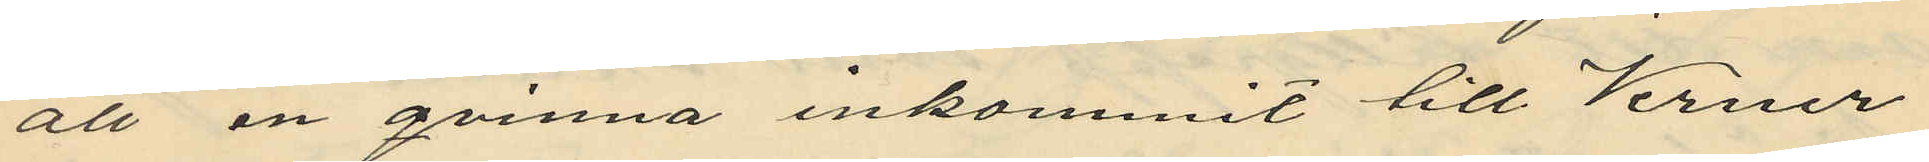att en qvinna inkommit till Verner
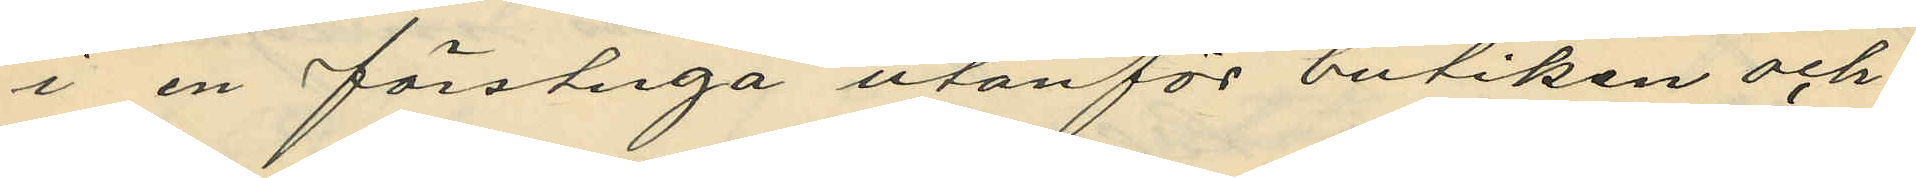i en förstuga utanför butiken och
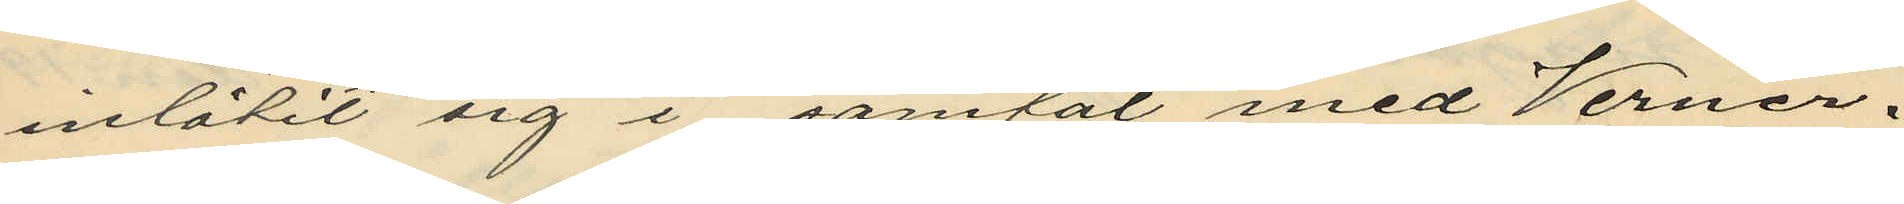inlåtit sig i samtal med Verner
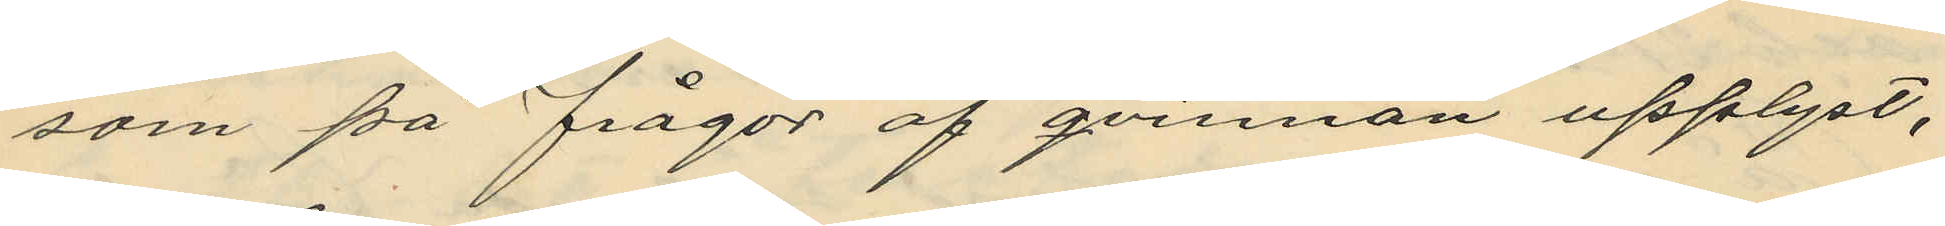som på frågor af qvinnan upplyst,
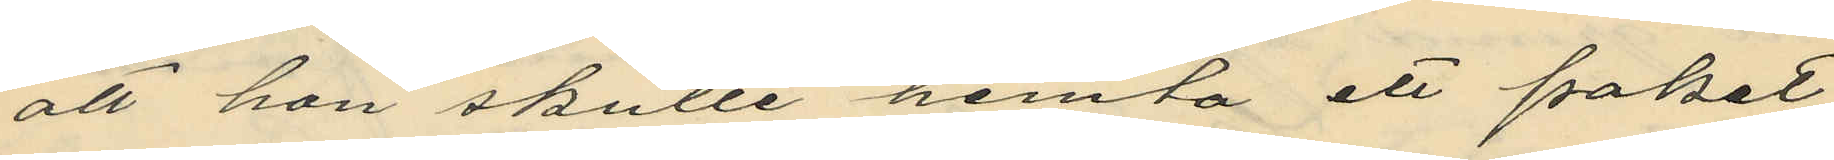att hon skulle hemta ett paket
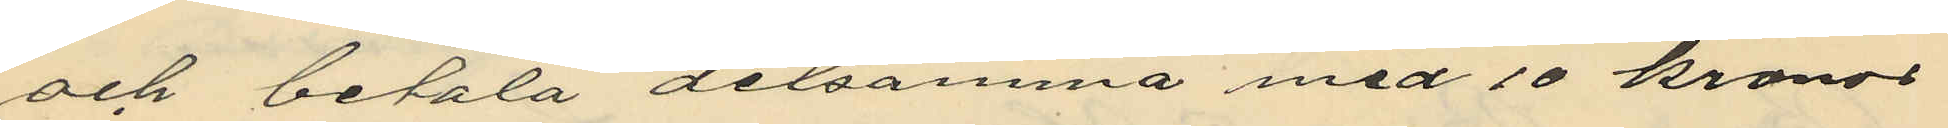och betala detsamma med 10 kronor
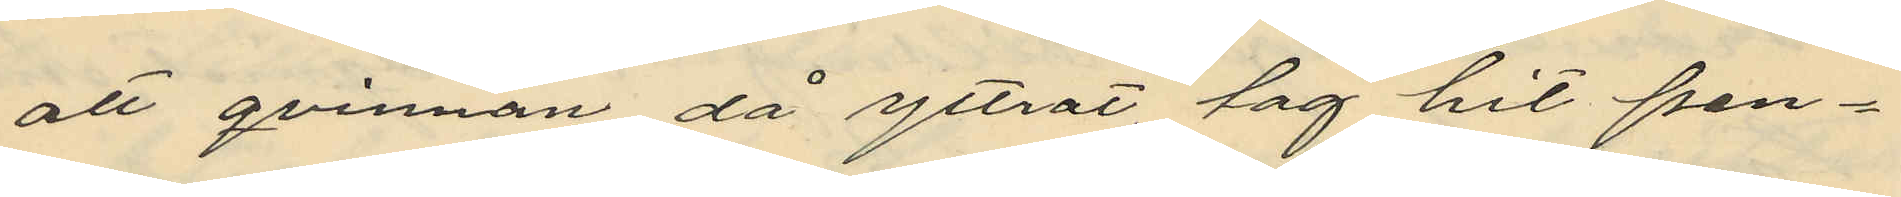att qvinnan då yttrat tag hit pen¬
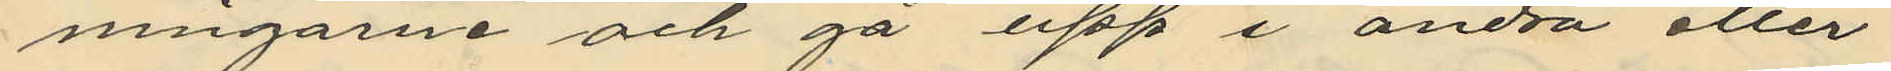ningarne och gå upp i andra eller
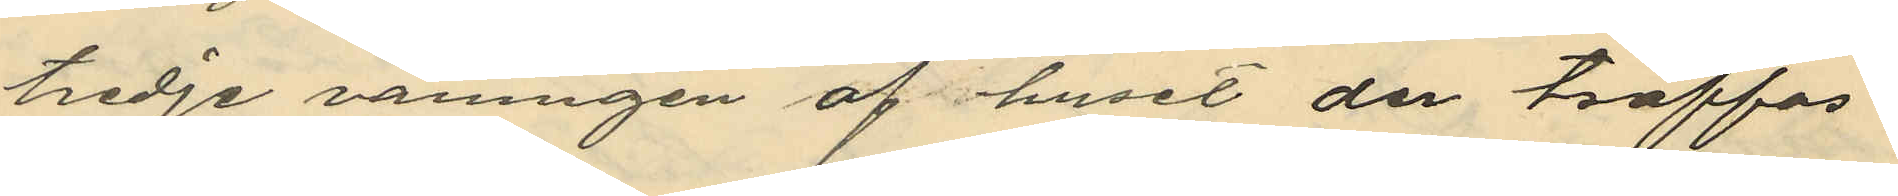tredje våningen af huset de träffas
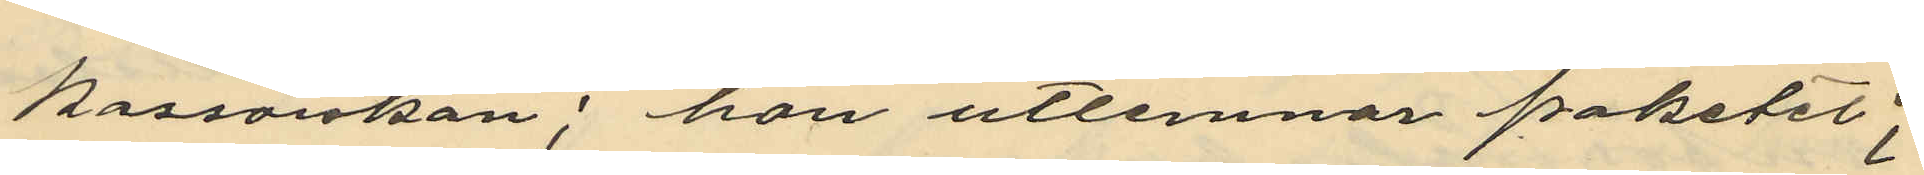kassörskan, han utlemnar paketet;
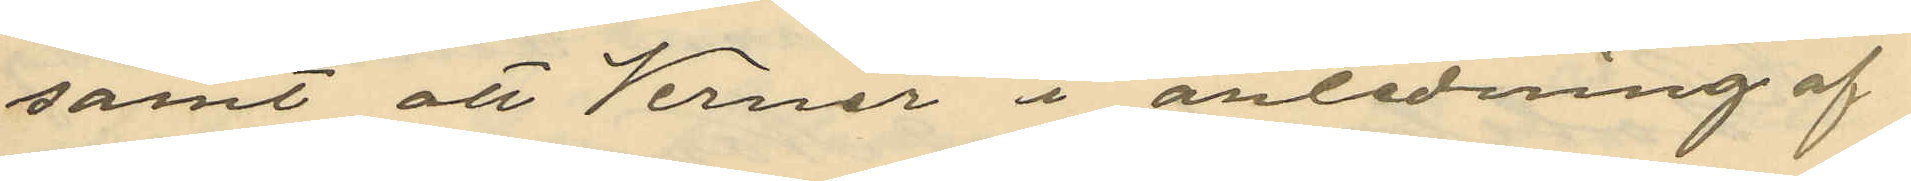samt att Verner i anledning af
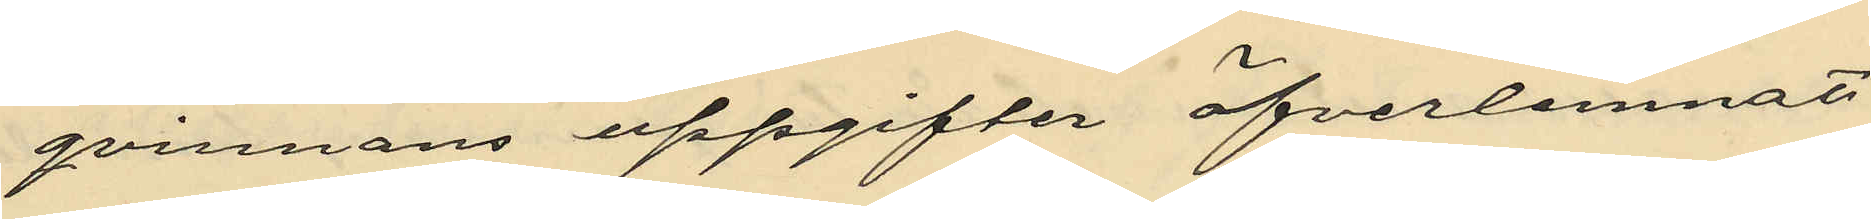qvinnans uppgifter öfverlemnat
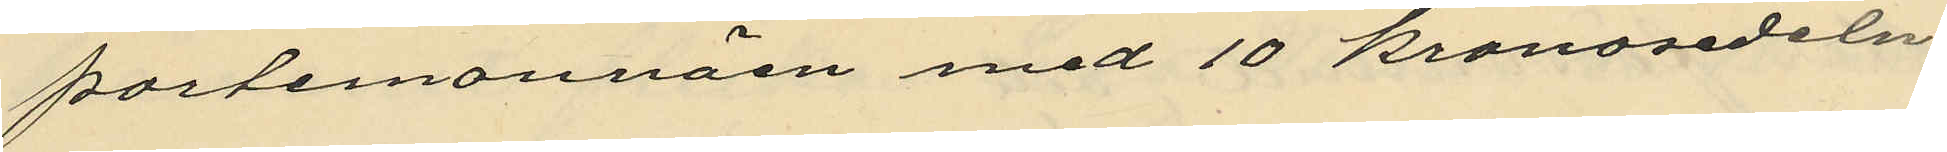portemonnäen med 10 kronosedeln
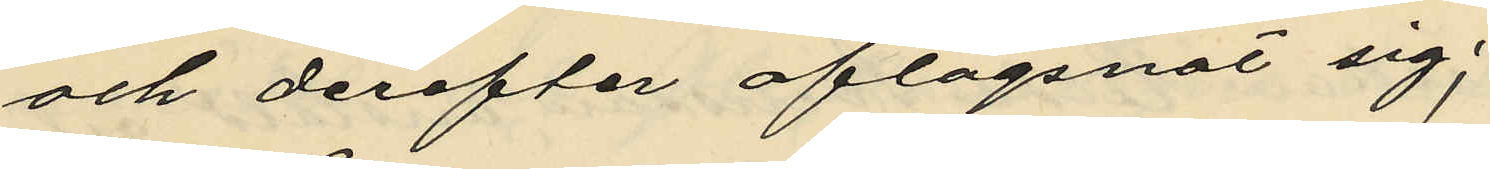och derefter aflägsnat sig;
